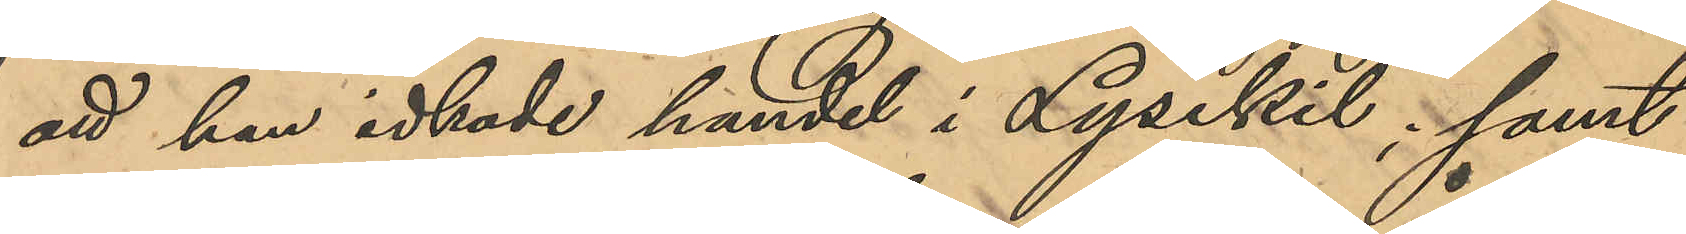att han idkade handel i Lysekil; samt
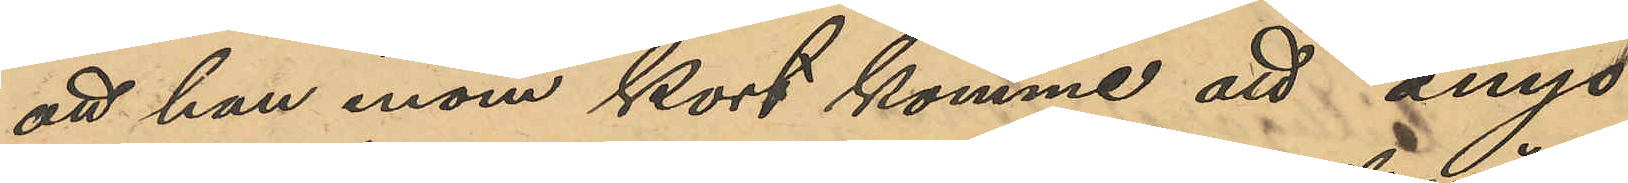att han inom kort kommer att ånyo
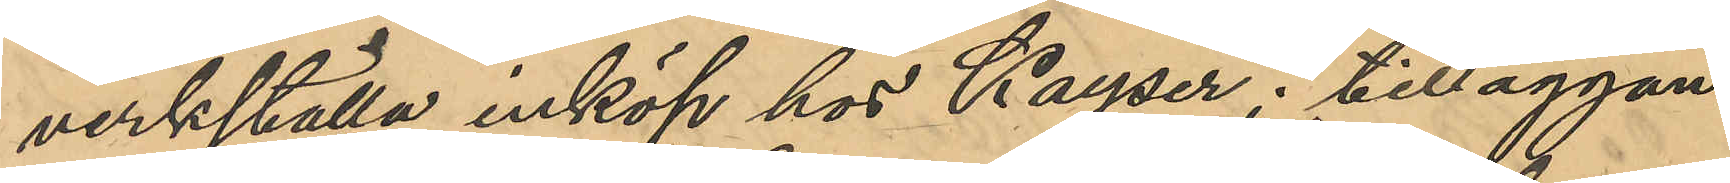verkställa inköp hos Kayser; tilläggan¬
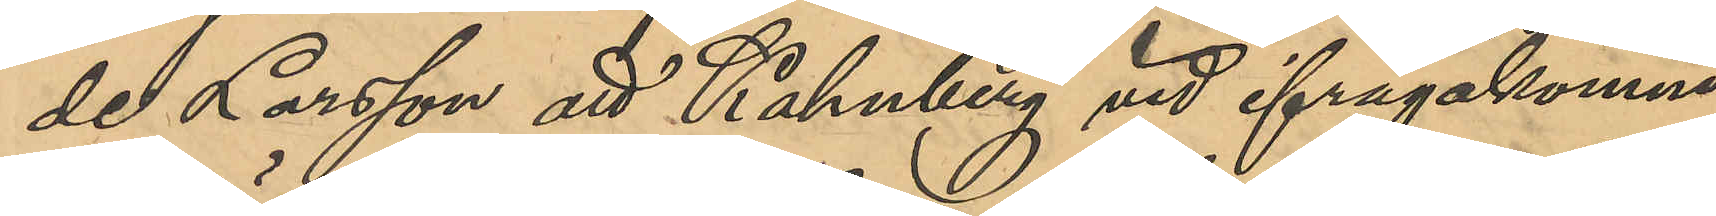de Larsson att Kahnberg vid ifrågakomne
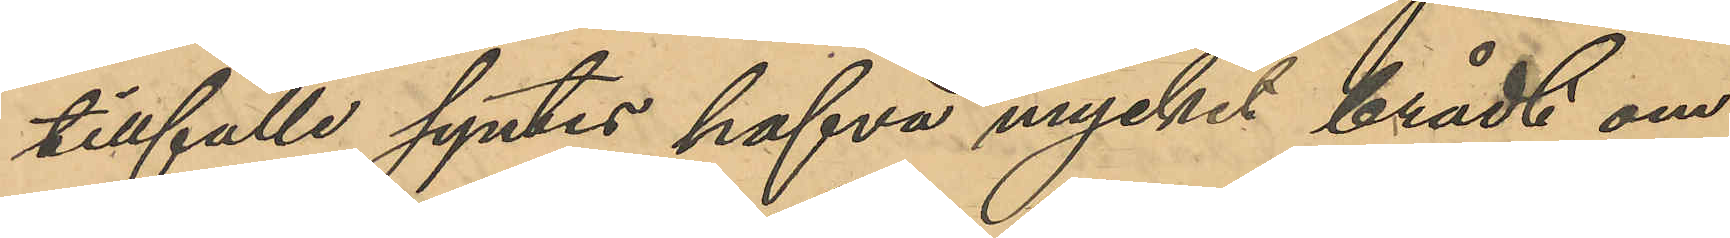tillfälle syntes hafva mycket brådt om
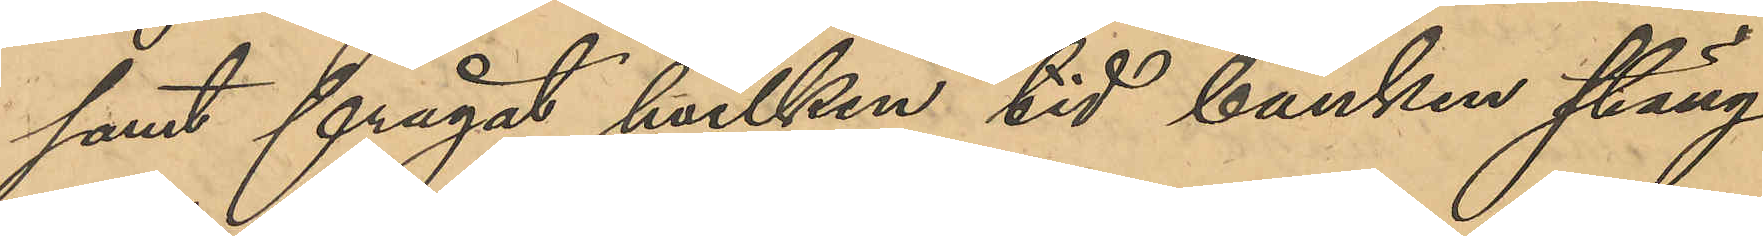samt frågat hvilken tid banken stäng¬
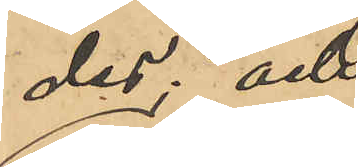des; och
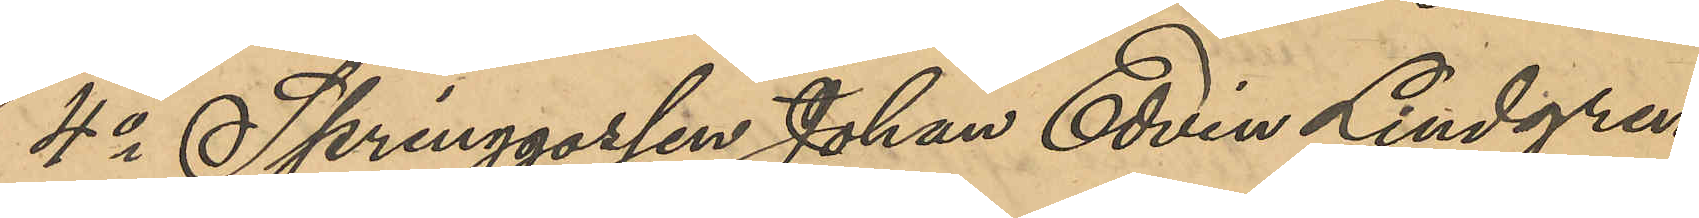4o Springgossen Johan Edvin Lindgren,
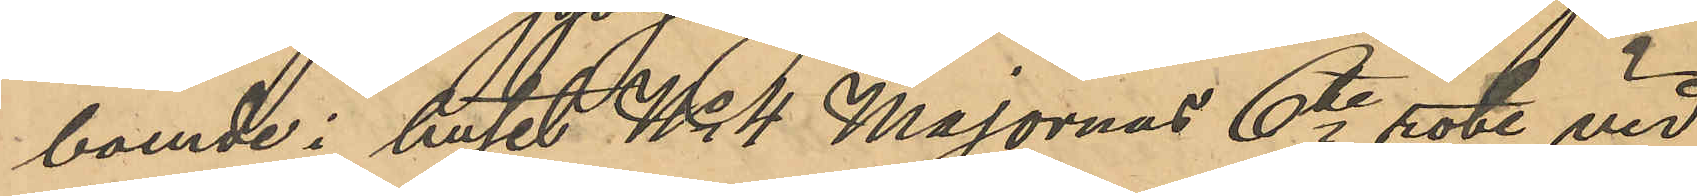boende i huset No 4 Majornas 6te rote vid
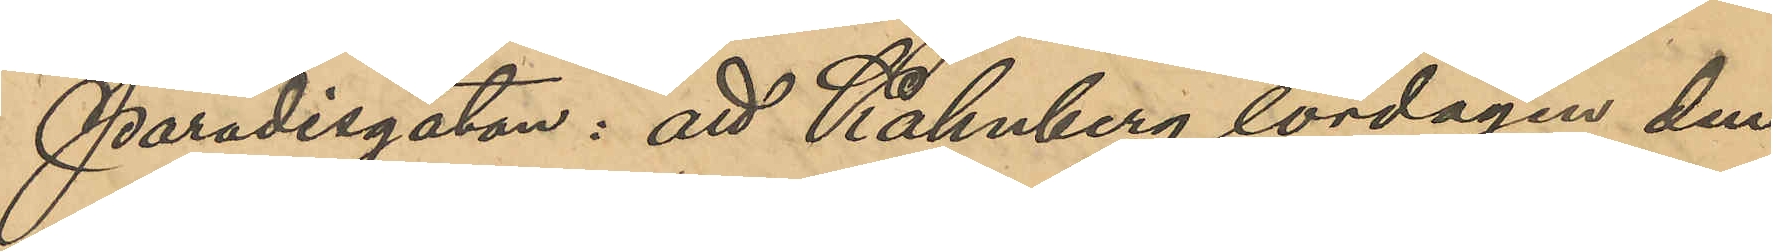Paradisgatan: att Kahnberg lördagen den
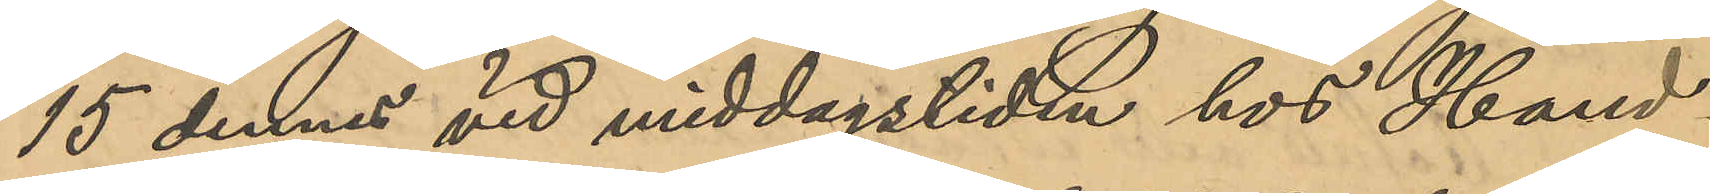15 dennes vid middagstiden hos Hand¬
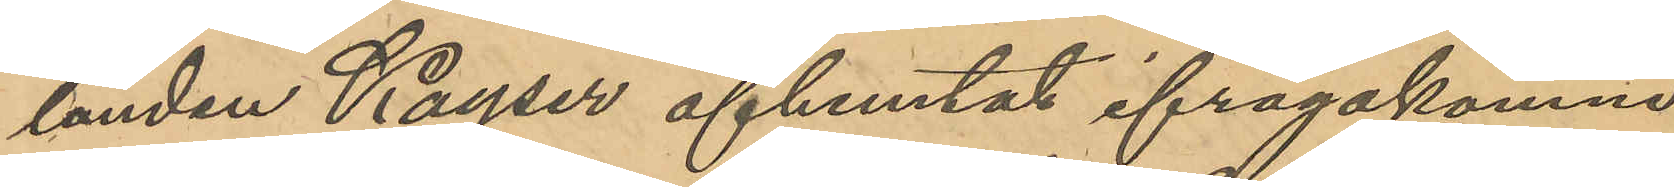landen Kayser afhemtat ifrågakomne
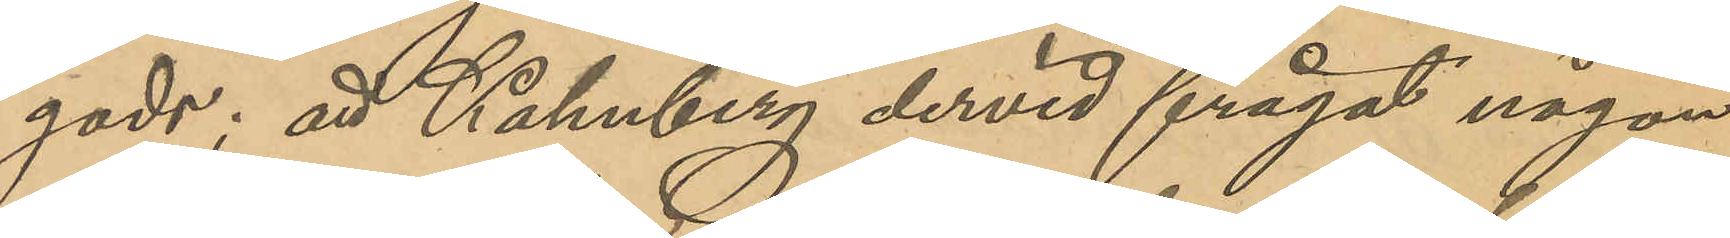gods; att Kahnberg dervid frågat någon
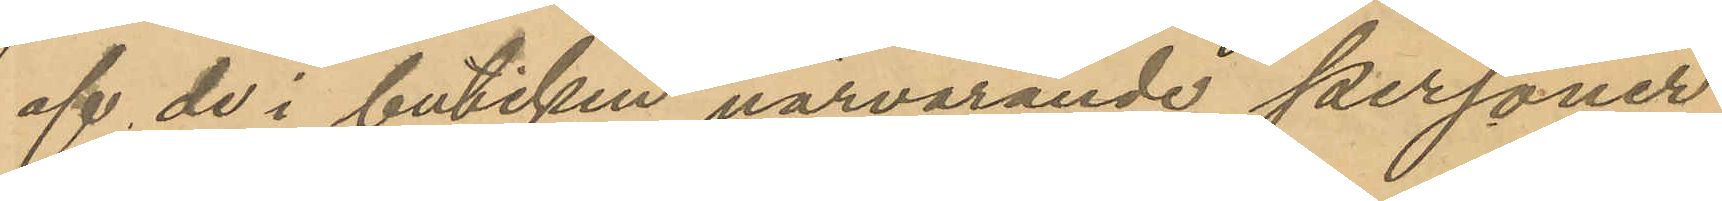af de i butiken närvarande personer
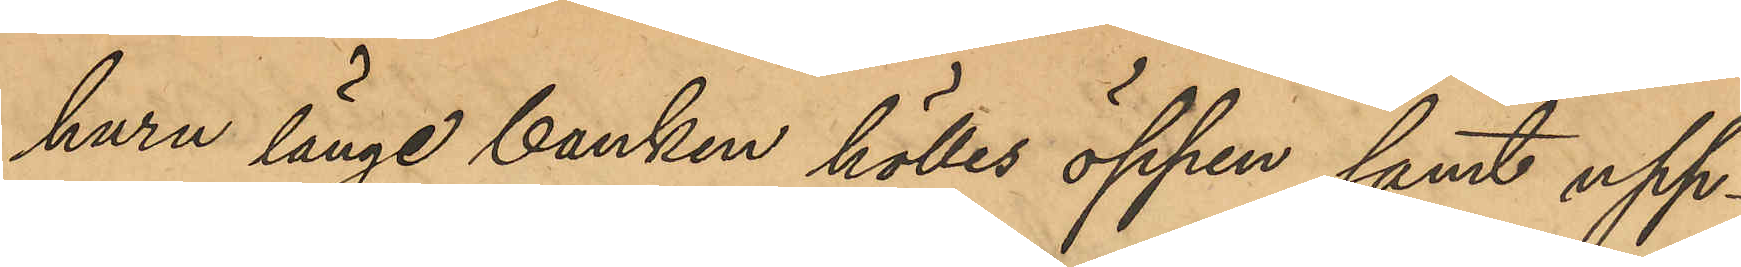huru länge banken hölles öppen samt upp¬
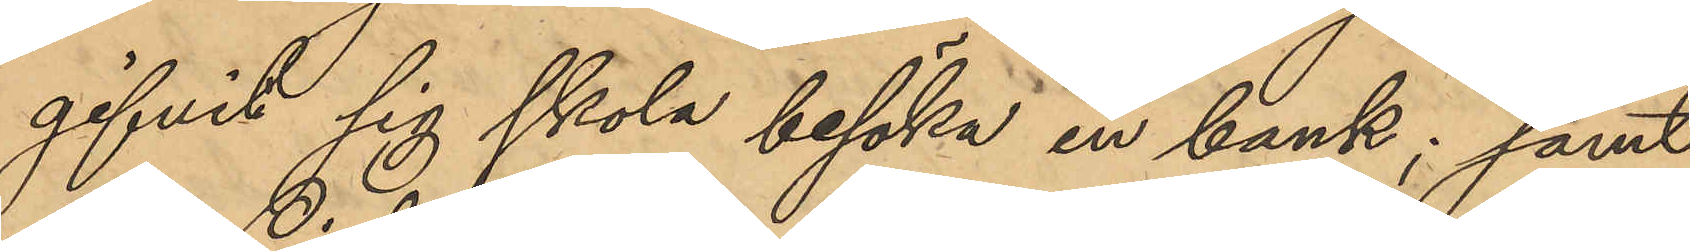gifvit sig skola besöka en bank; samt
